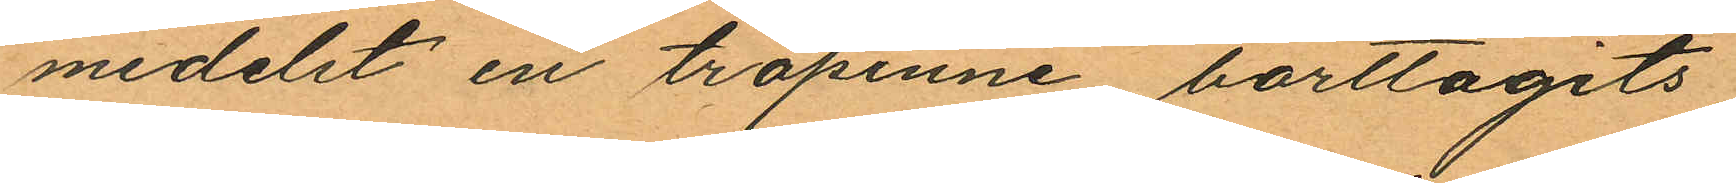medelst en träpinne, borttagits,
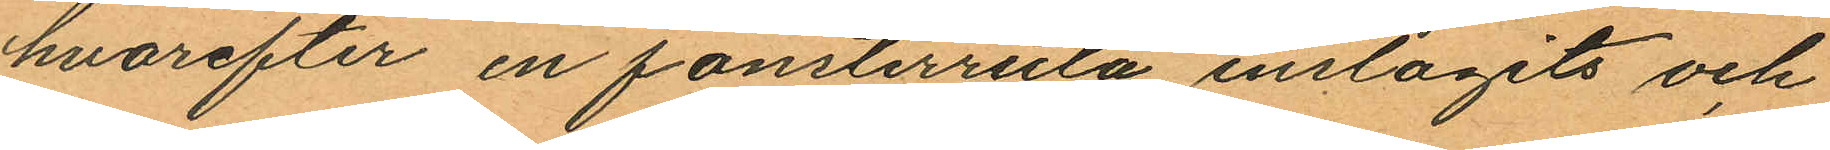hvarefter en fönsterruta inslagits och
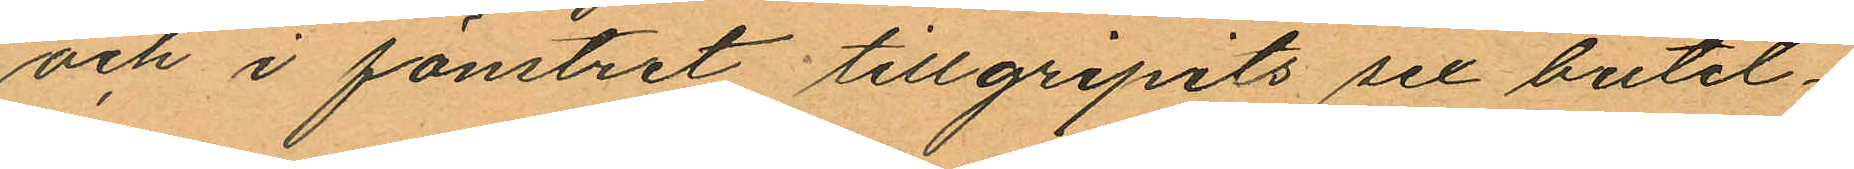och i fönstret tillgripits sex butel¬
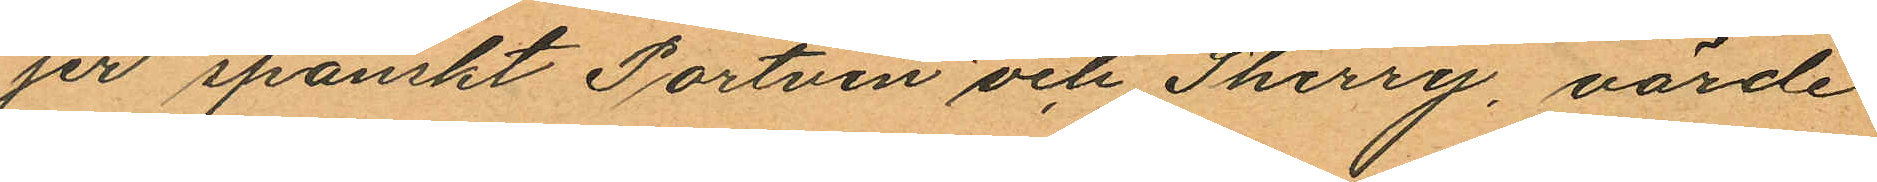jer spanskt Portvin och Sherry, värde
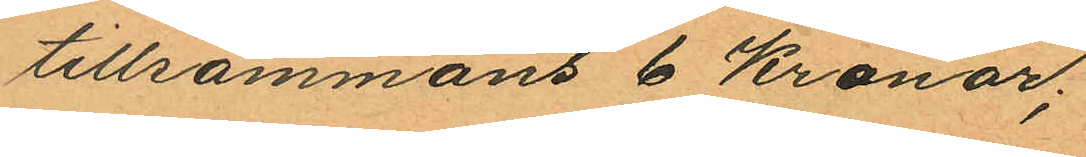tillsammans 6 kronor;
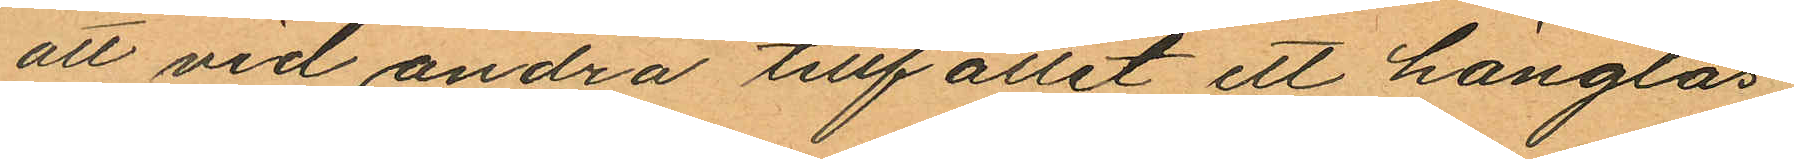att vid andra tillfället ett hänglås
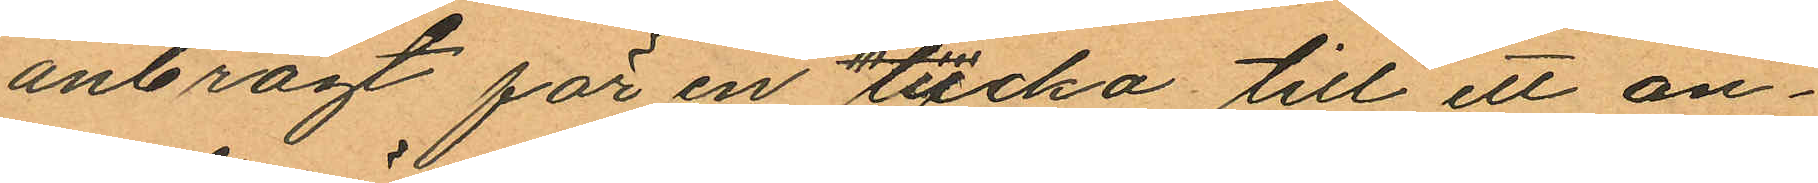anbragt för en lucka till ett an¬
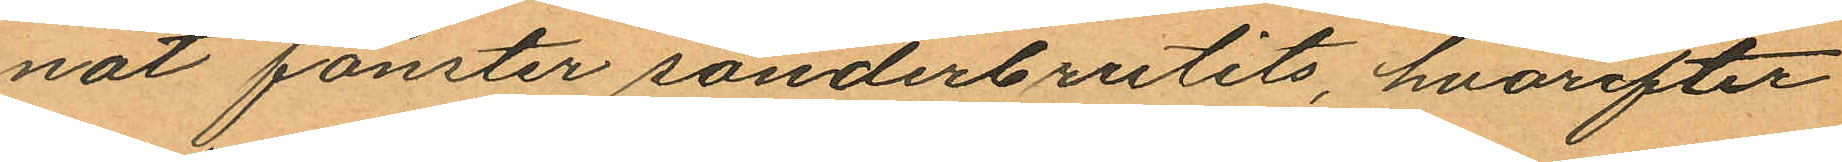nat fönster sönderbrutits, hvarefter
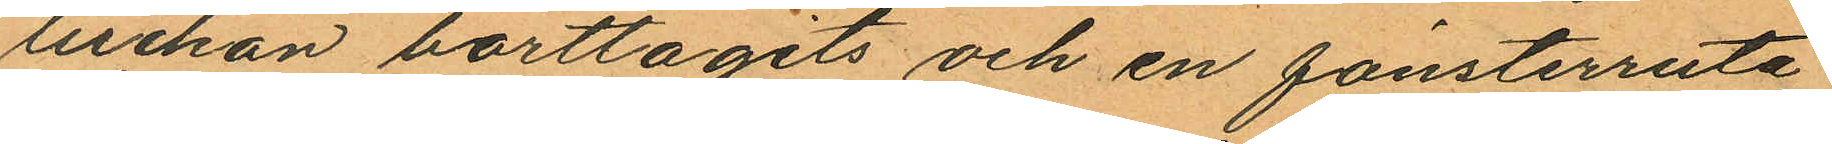luckan borttagits och en fönsterruta
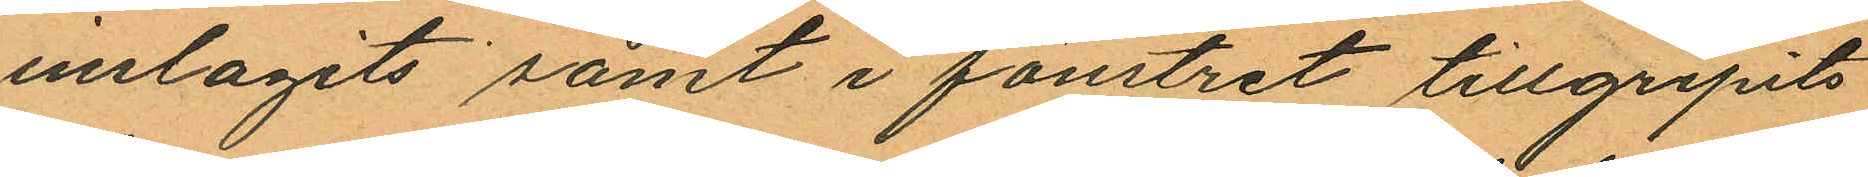inslagits samt i fönstret tillgripits
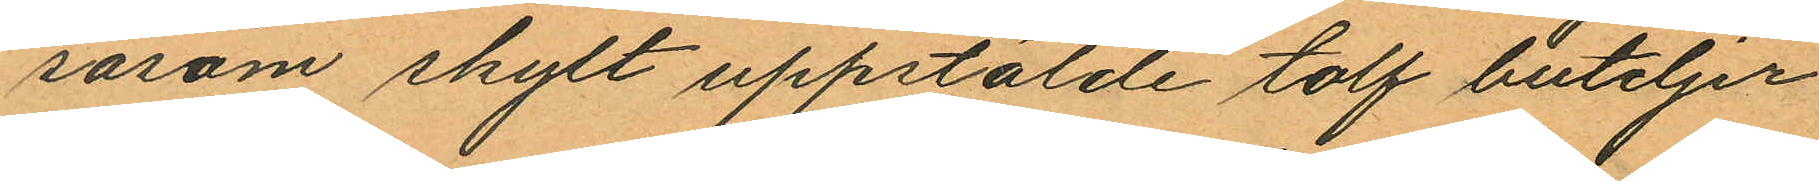såsom skylt uppstälde tolf buteljer
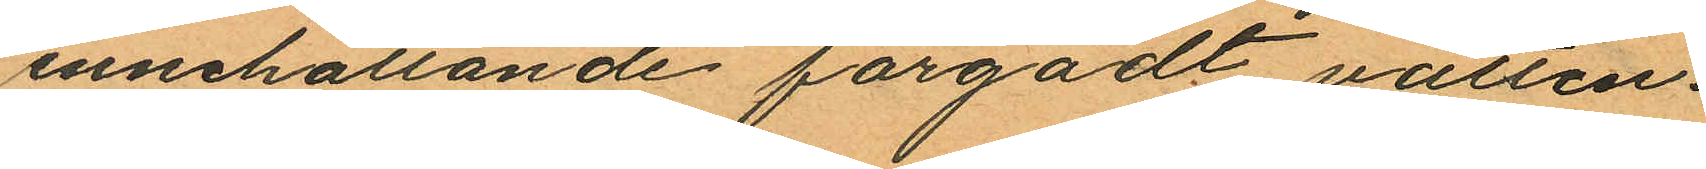innehållande färgadt vatten.
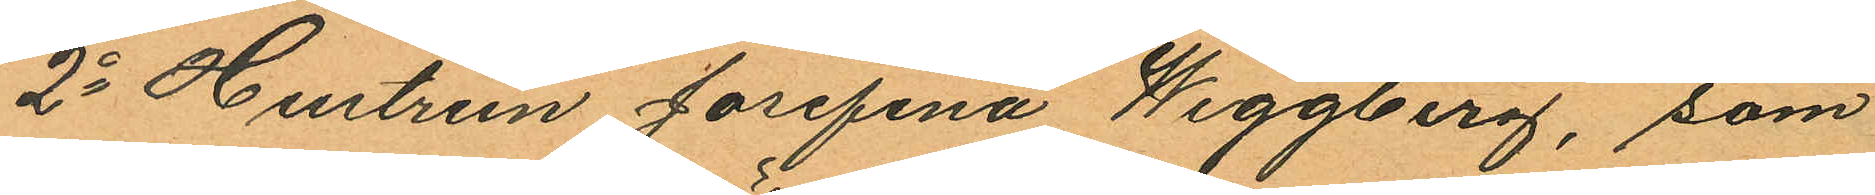2o Hustrun Josefina Weggberg, som
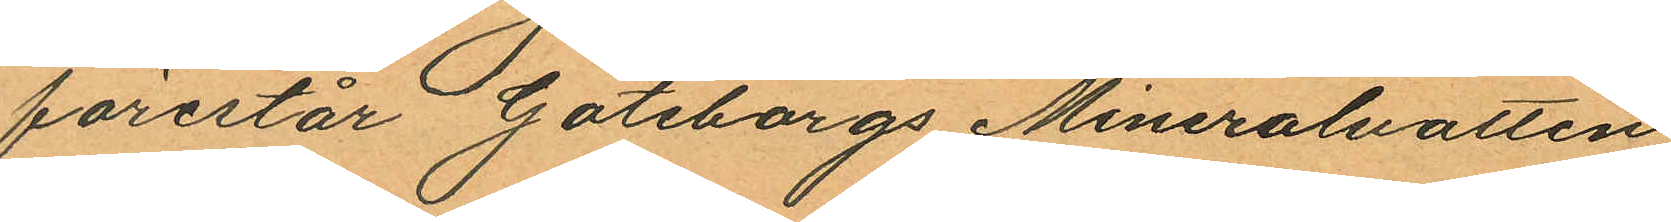förestår Göteborgs Mineralvatten
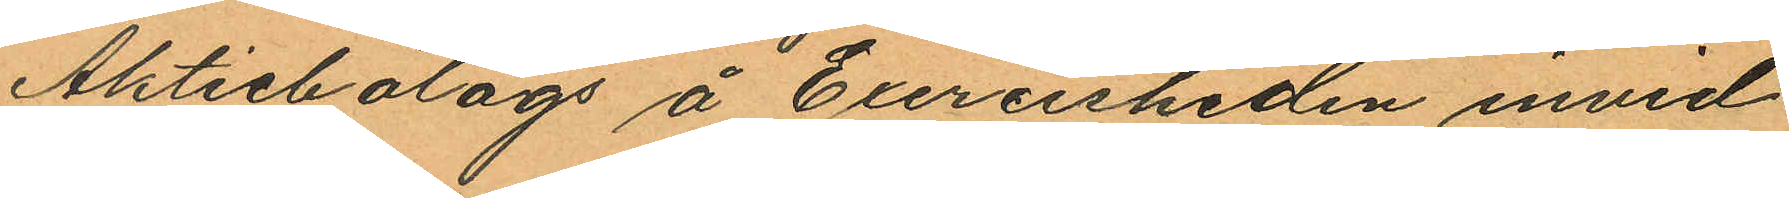Aktiebolags å Exercisheden invid
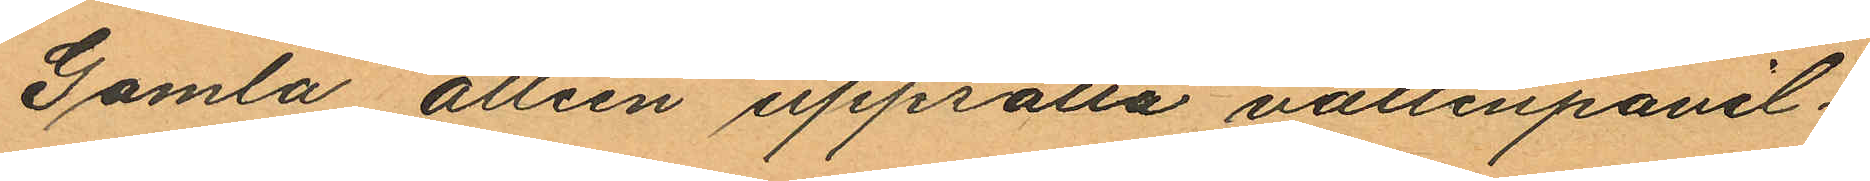Gamla alléén uppsatta vattenpavil¬
